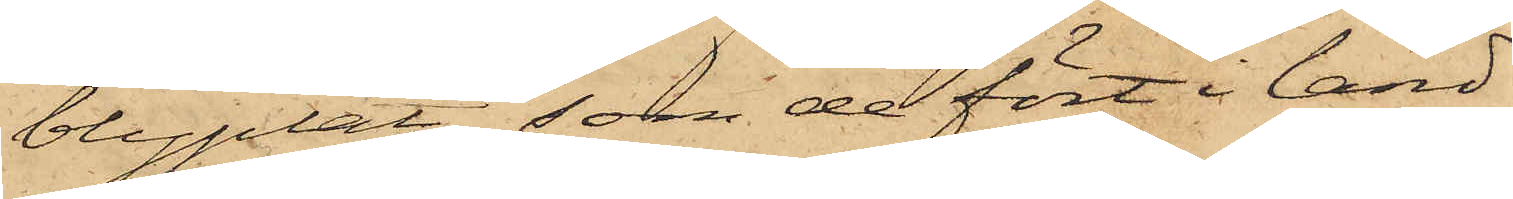blyplåt, som de fört i land
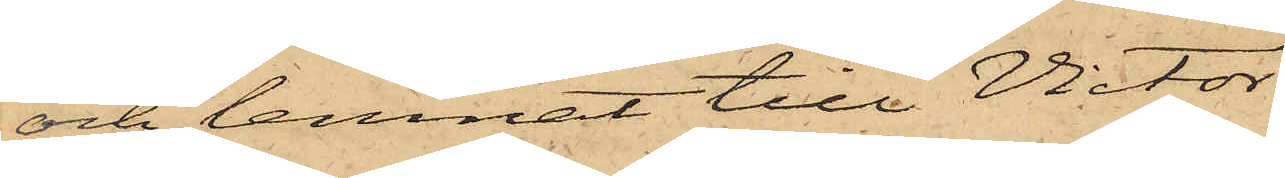och lemnat till Victor
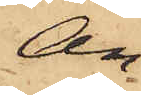An¬
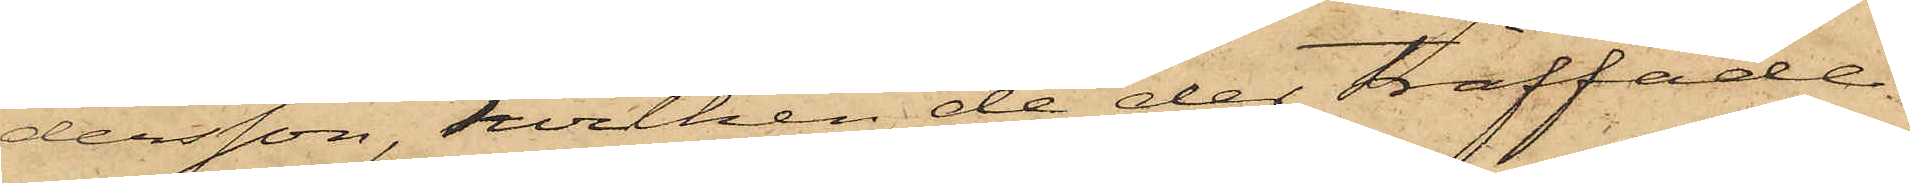dersson, hvilken de der träffade
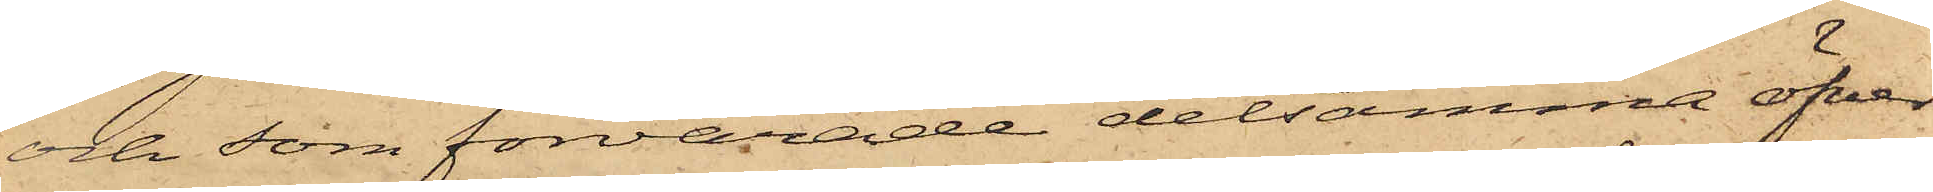och som förvarade detsamma öfver
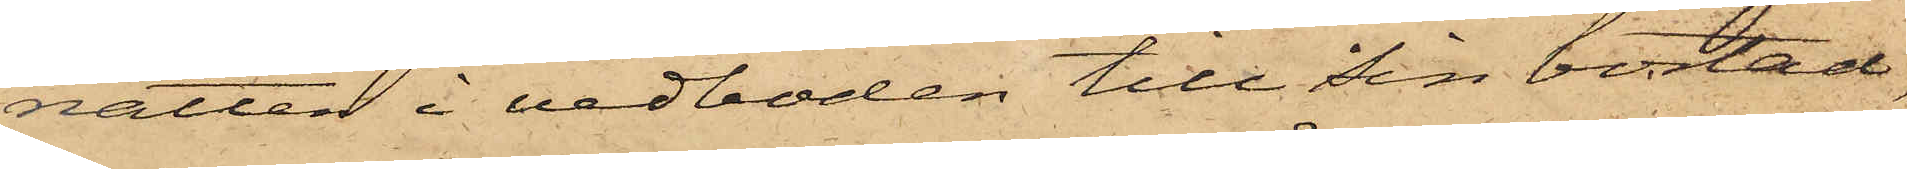natten i vedboden till Sin bostad,
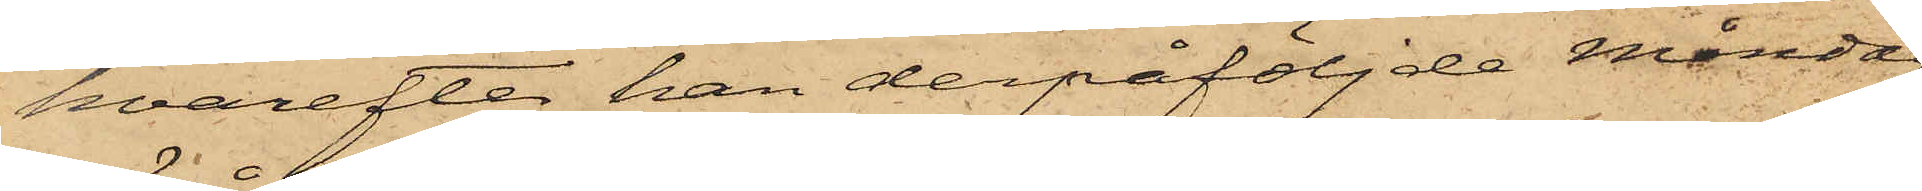hvarefter han derpåföljde Måndag
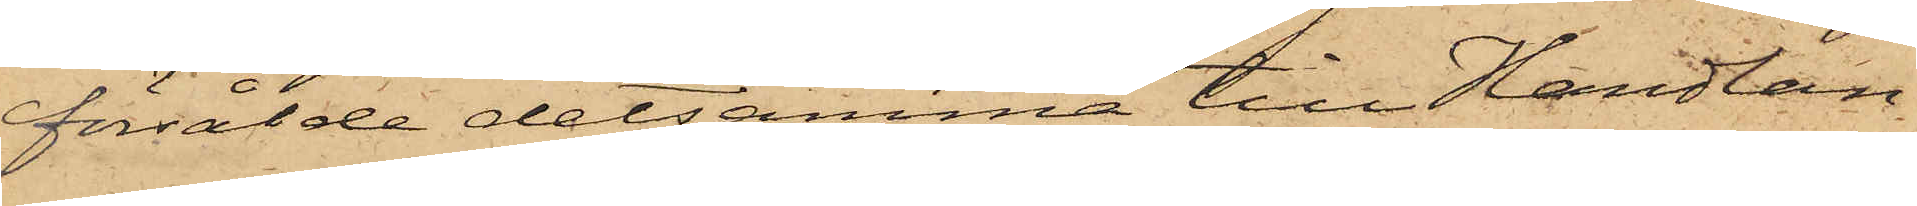försålde detsamma till Handlan¬
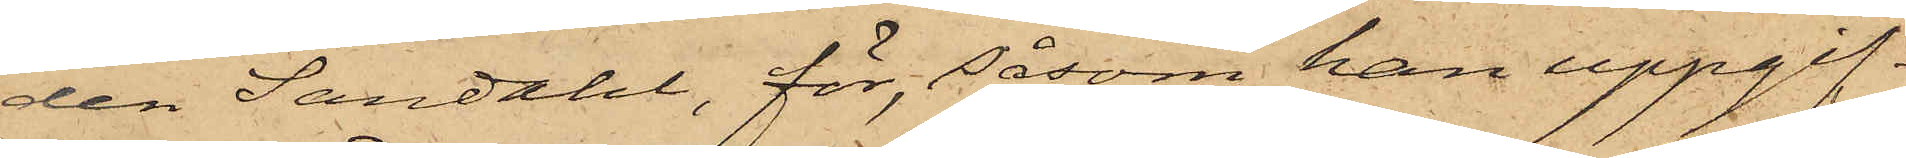den Sandahl, för, såsom han uppgif¬
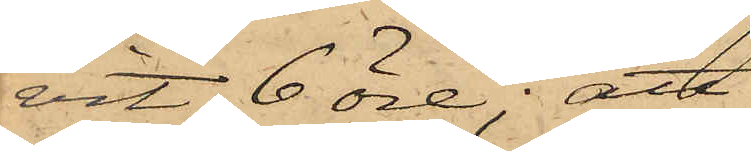vit, 6 öre; att
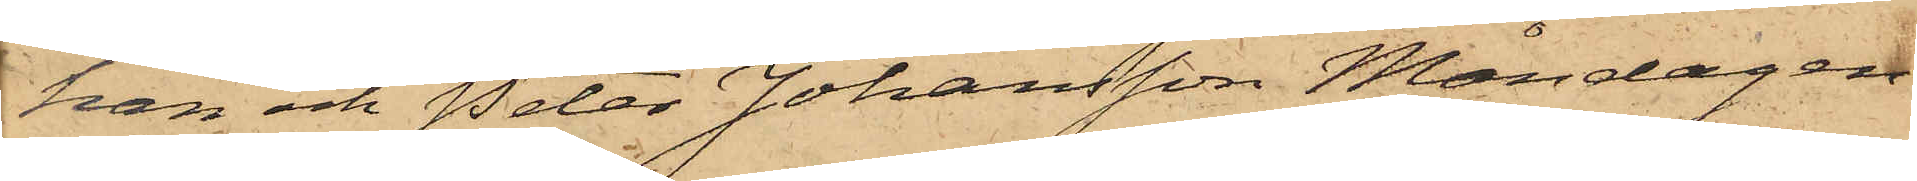han och Peter Johansson Måndagen
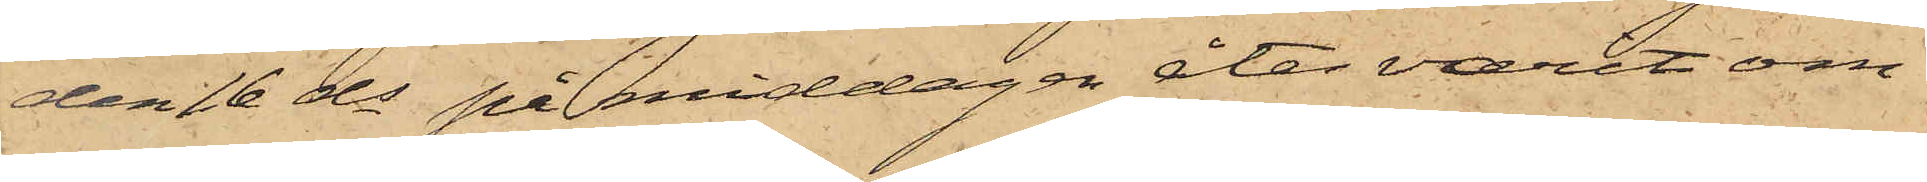den 16 ds på middagen åter varit om¬
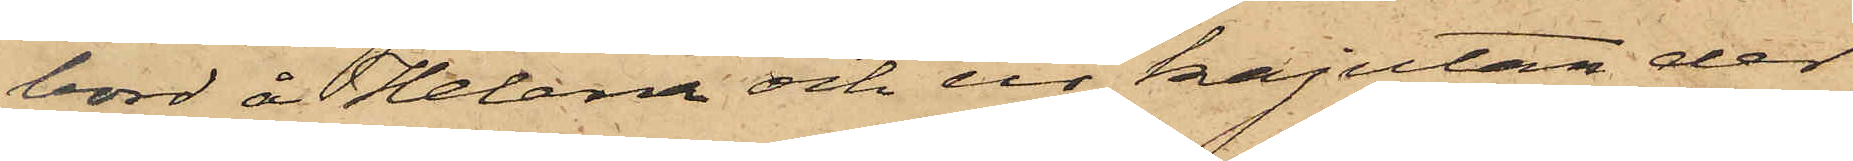bord å Helena och ur kajutan der
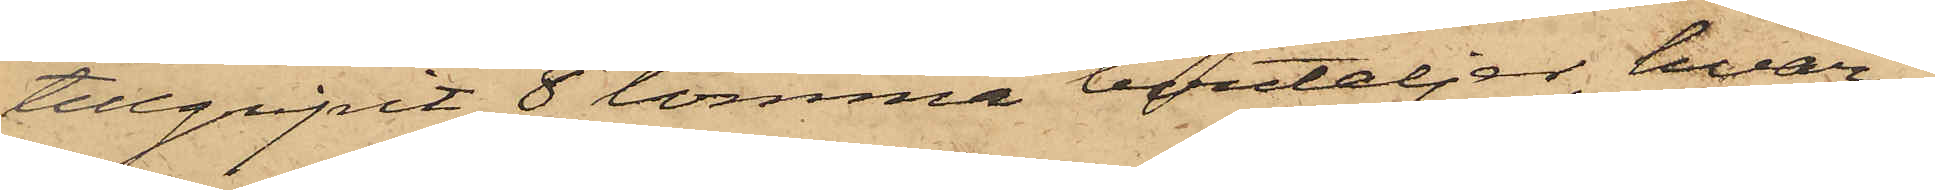tillgripit 8 tomma bouteljer, hvar¬
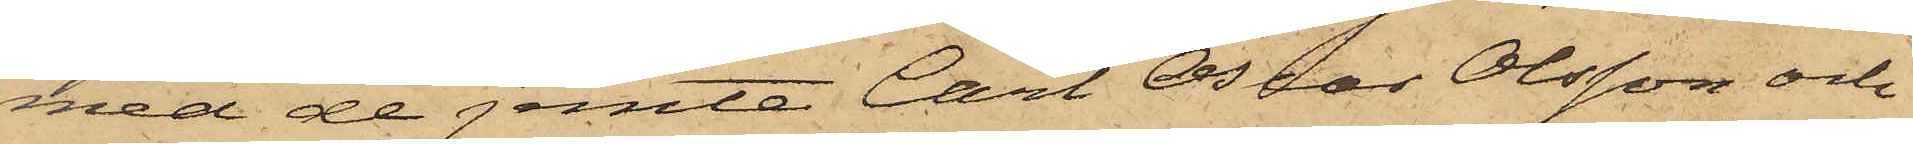med de jemte Carl Oscar Olsson och
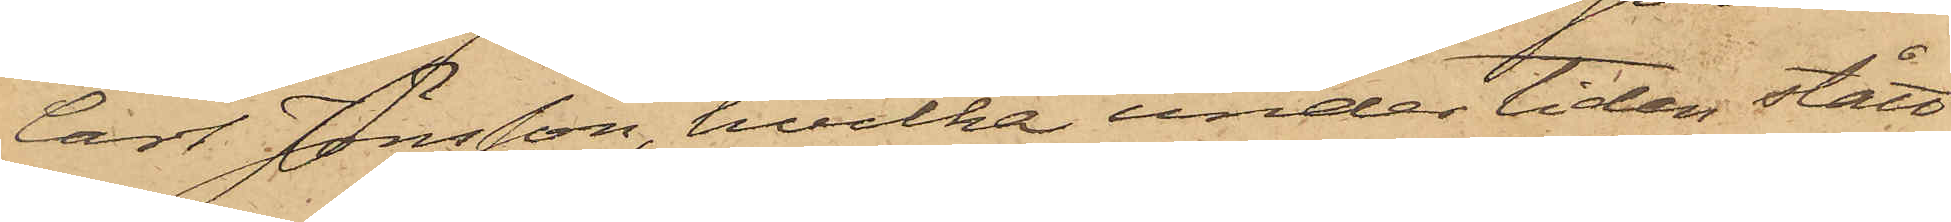Carl Jönsson, hvilka under tiden stått
